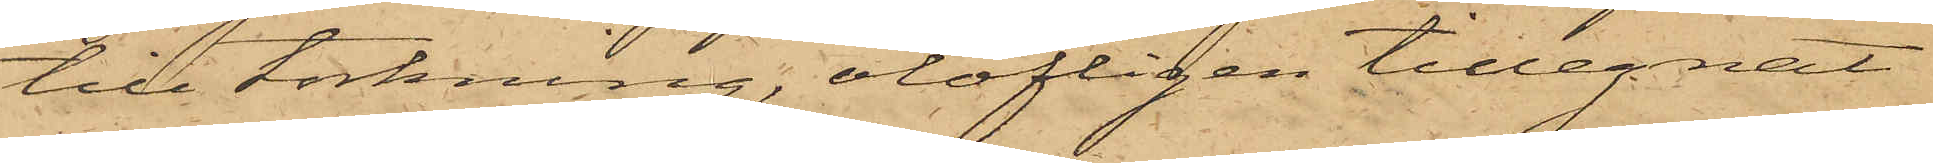till torkning, olofligen tillegnat
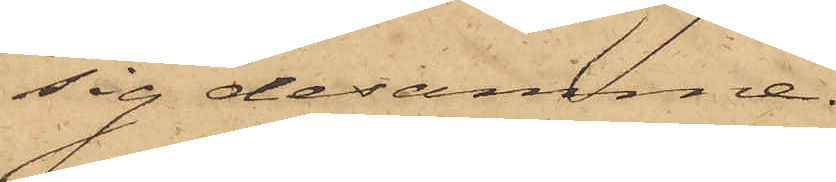sig desamma.
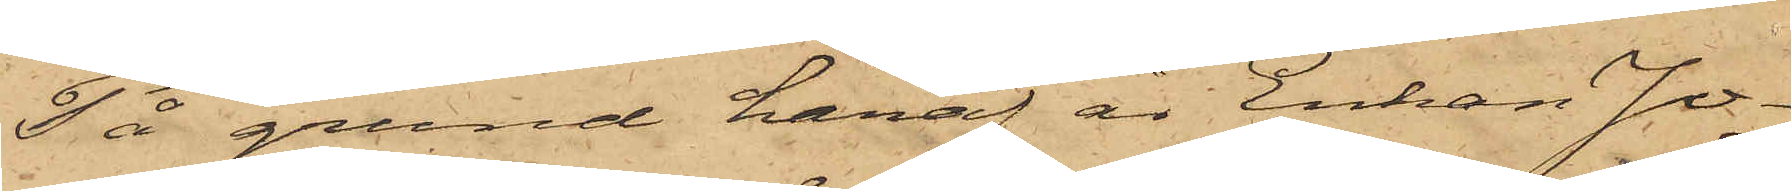På grund häraf är Enkan Jo¬
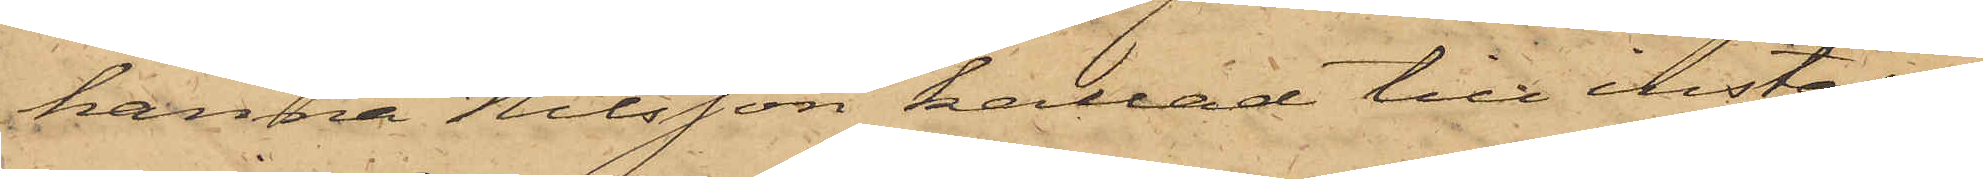hanna Nilsson kallad till inställel¬
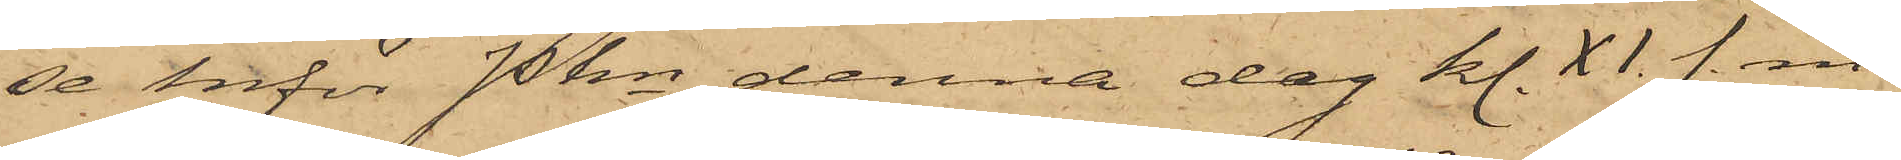se inför Pkn denna dag kl. XI. f. m.
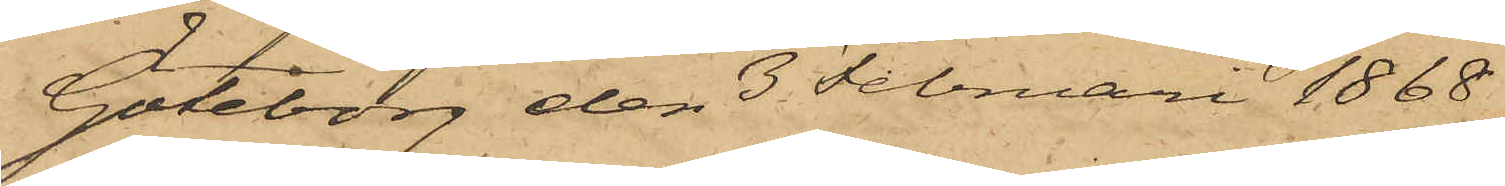Göteborg den 3 Februari 1868.
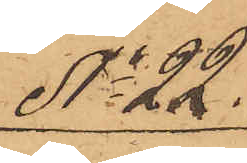No 22.
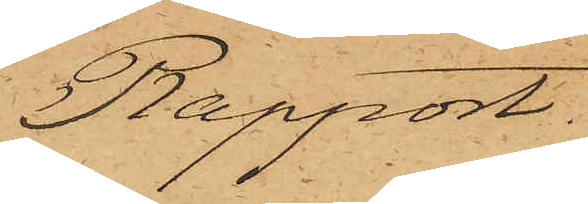Rapport.
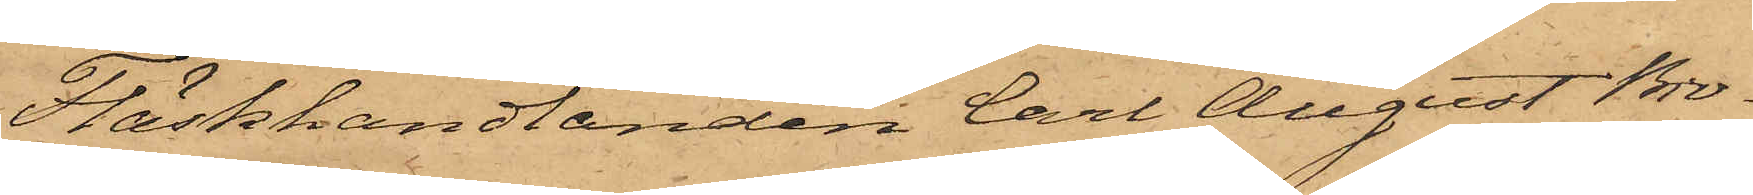Fläskhandlanden Carl August Bro¬
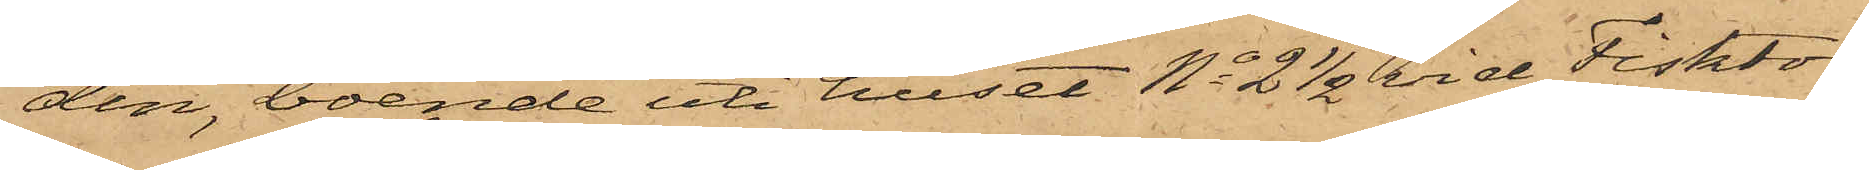din, boende uti huset No 2 1/2 vid Fisktor¬
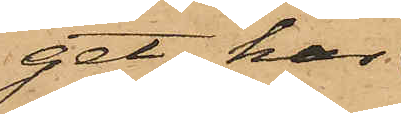get har
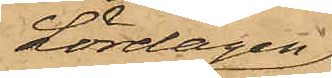Lördagen
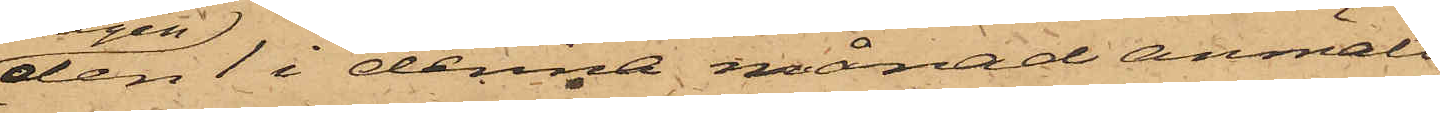den 1 i denna månad anmält,
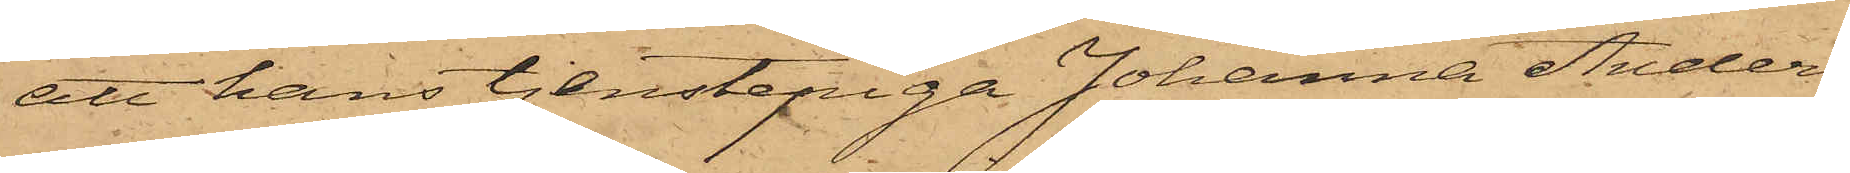att hans tjenstepiga Johanna Anders¬
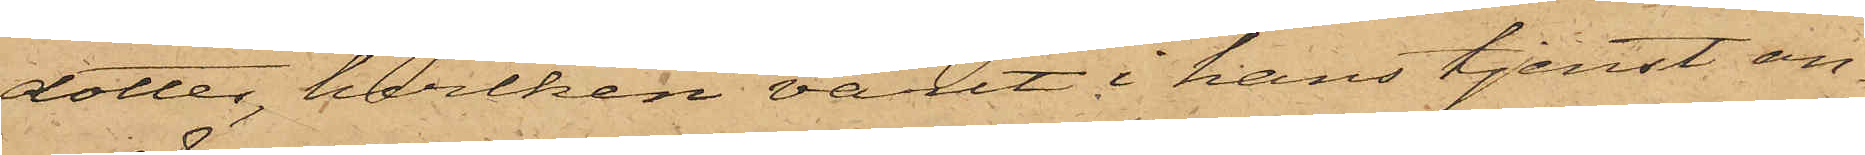dotter, hvilken varit i hans tjenst an¬
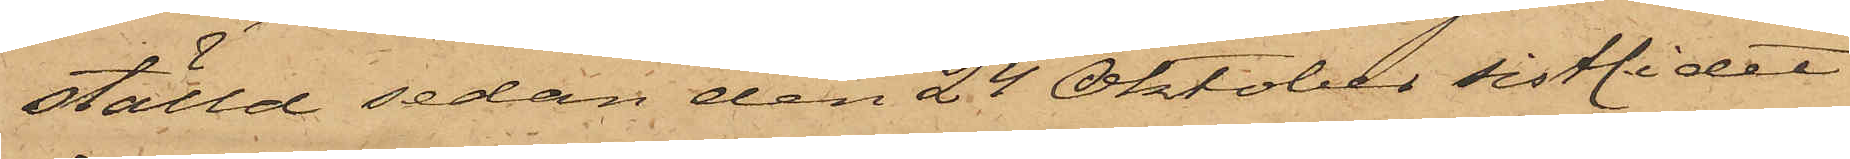ställd sedan den 24 Oktober sistlidet
